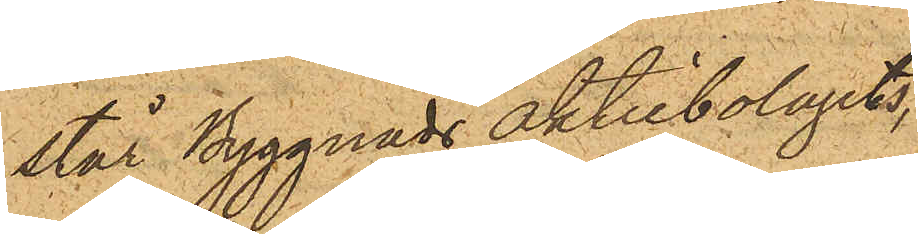står Byggnads aktiebolagets
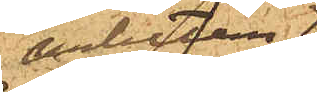arbeten,
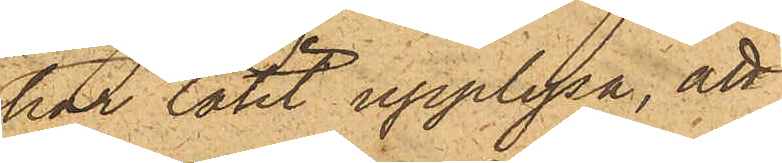har låtit upplysa, att
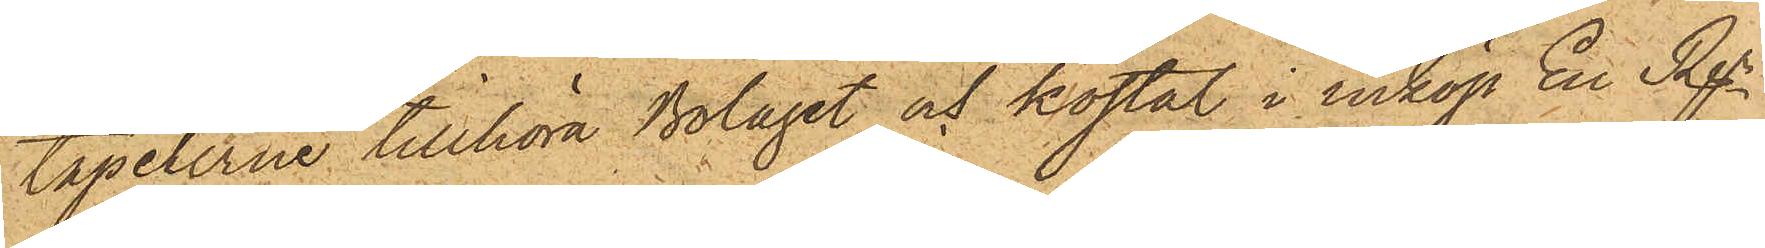tapeterne tillhöra Bolaget och kostat i inköp En Rdr
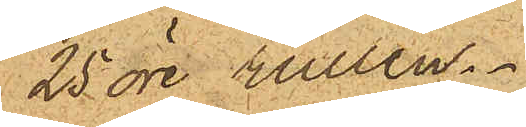25 öre rullen.
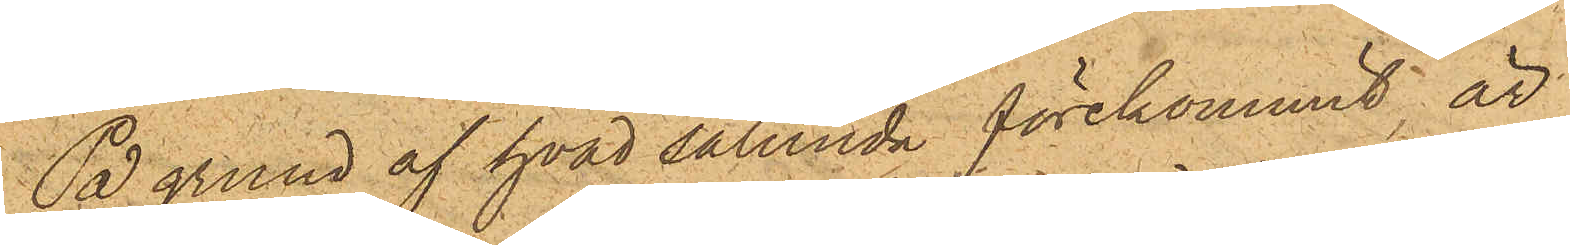På grund af hvad sålunda förekommit, är
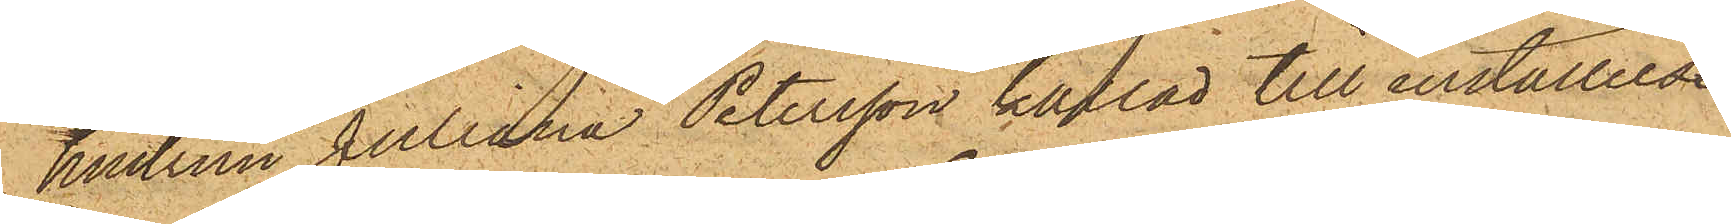hustrun Juliana Petersson kallad till inställelse
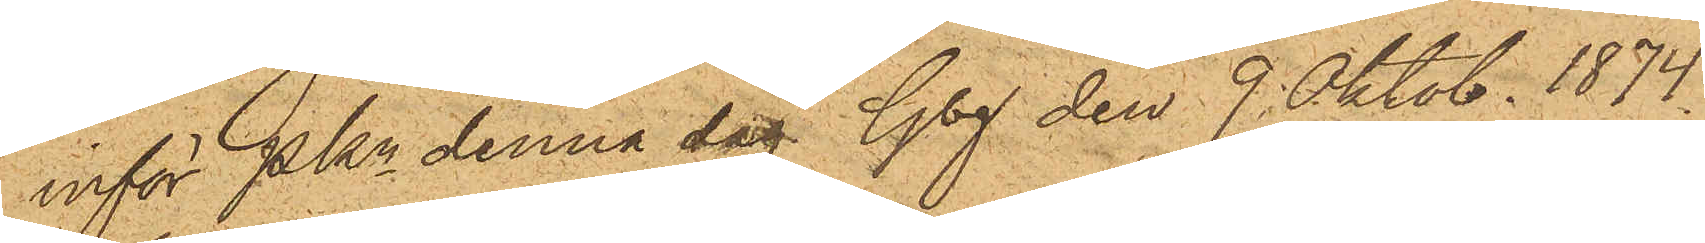inför Pkn denna dag. Gbg den 9. Oktob. 1874.
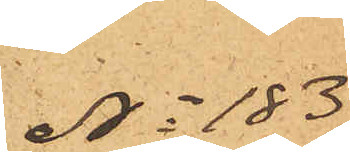No 183
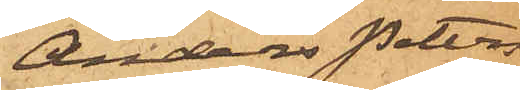Anders Peters¬
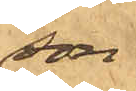son
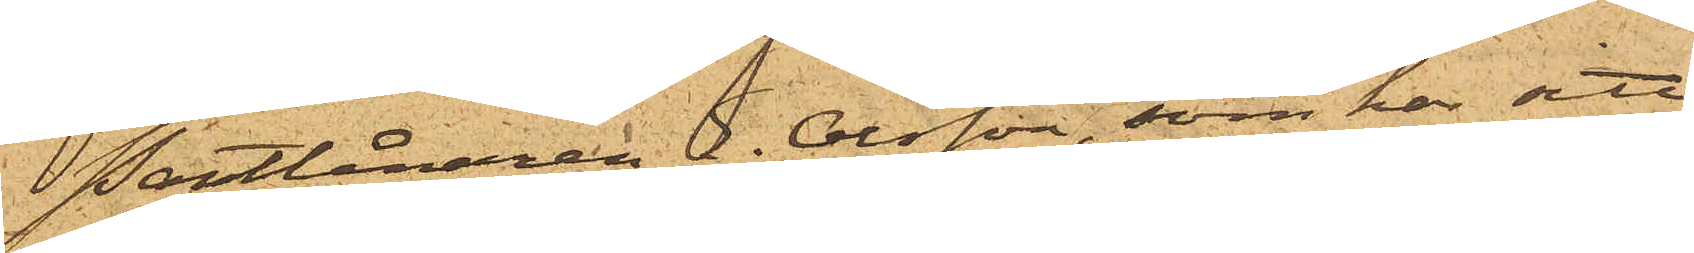Pantlånaren E. Olsson, som har sitt
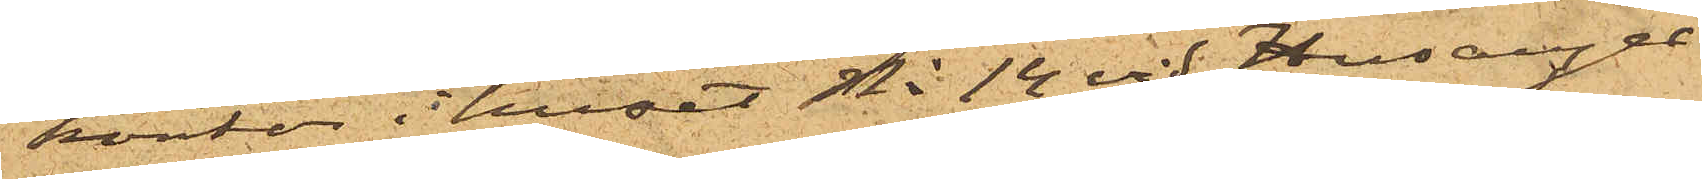kontor i huset No 14 vid Husarga¬
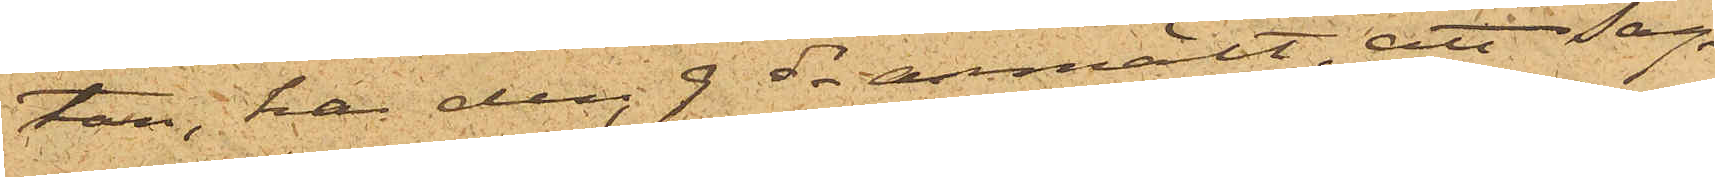tan, har den 9 ds anmält, att sag¬
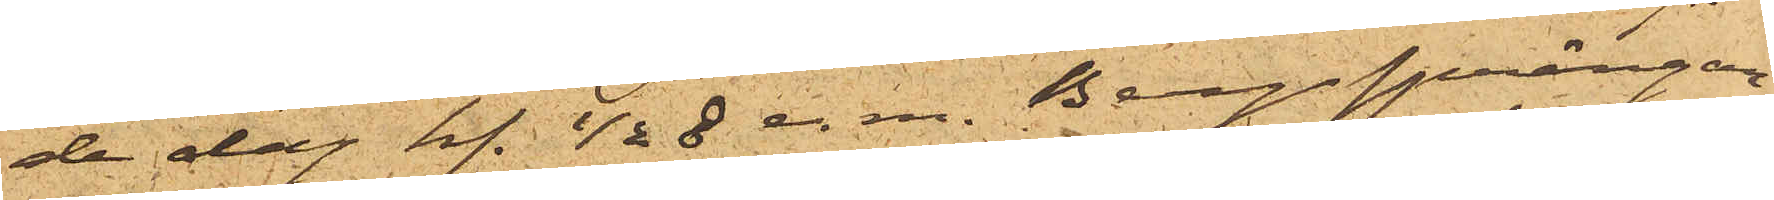de dag kl. ½8 e.m. Bergsprängar¬
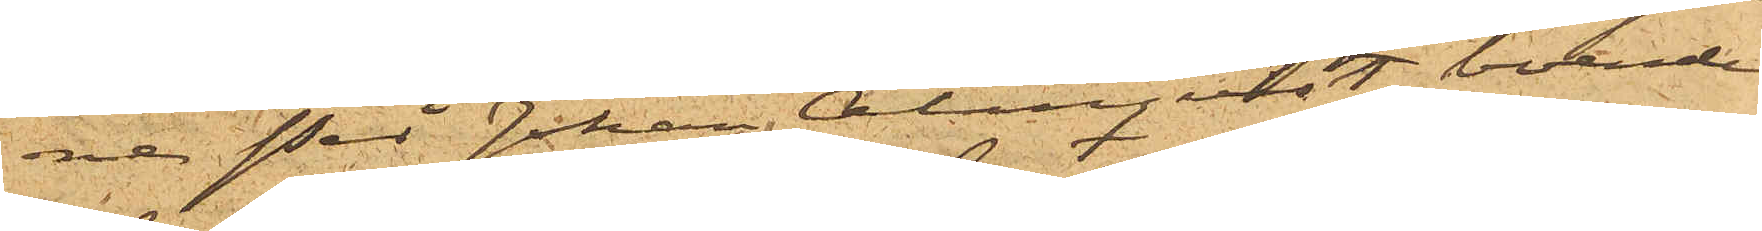ne Per Johan Almquist, boende
